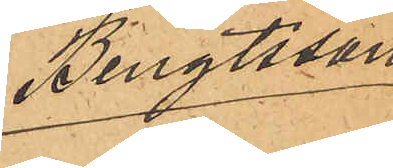Bengtsson
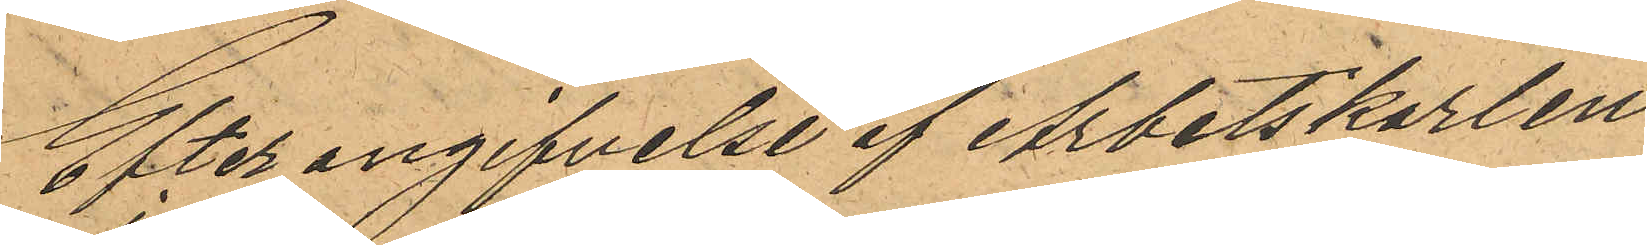Efter angifvelse af Arbetskarlen
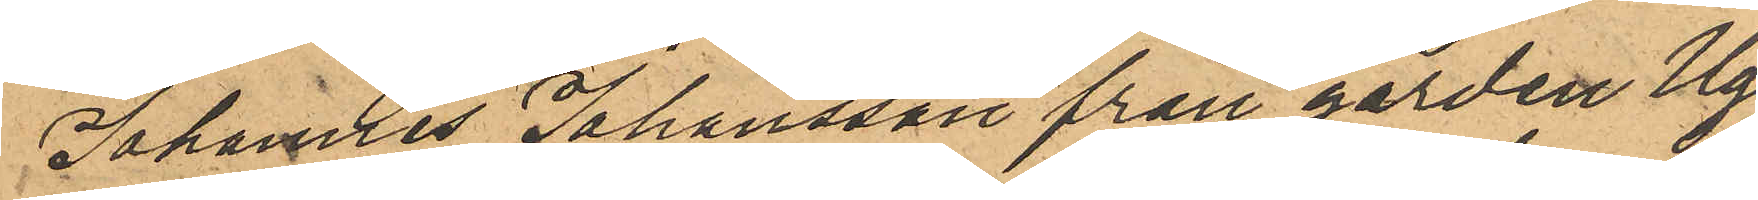Johannes Johansson från gården Ugg¬
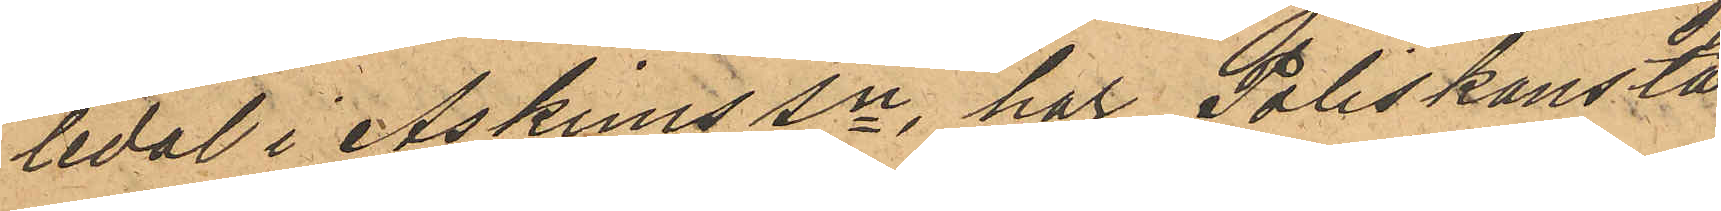ledal i Askims Sn har Poliskonsta¬
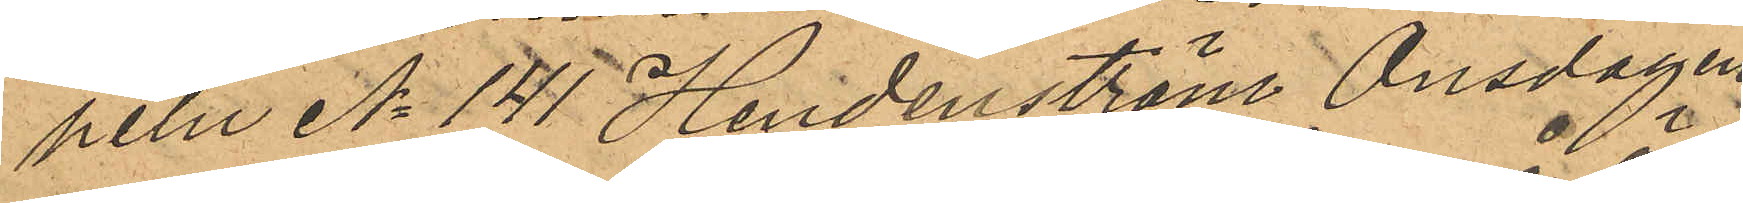peln No 141 Hendenström Onsdagen
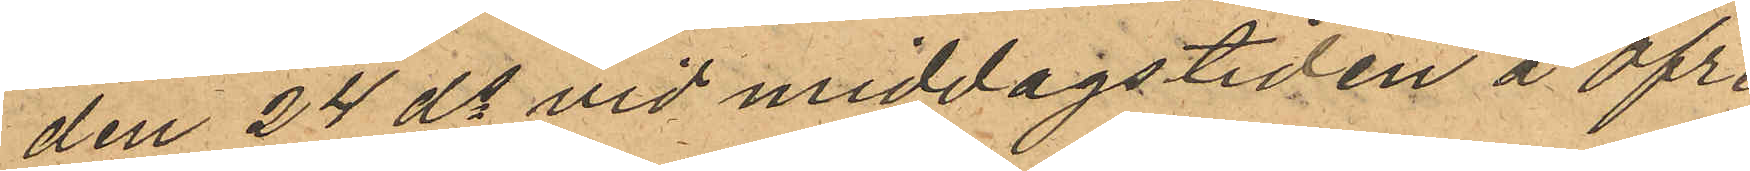den 24 ds vid middagstiden å Öfre
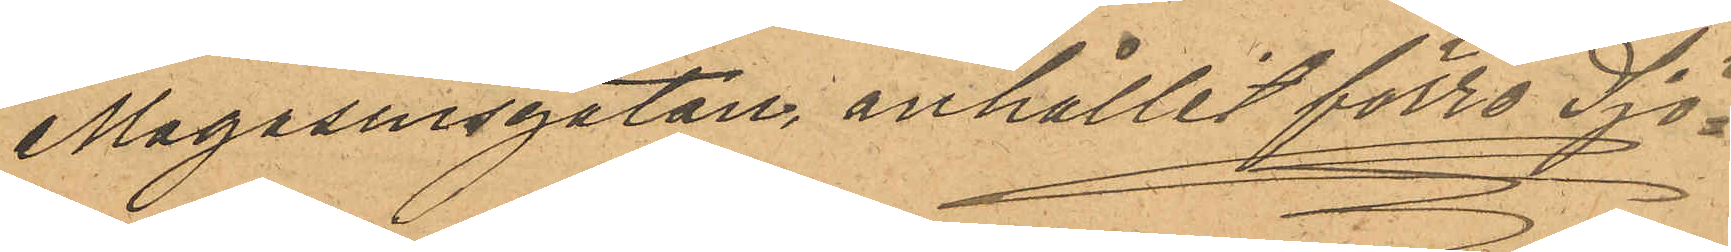Magasinsgatan, anhållit förre Sjö¬
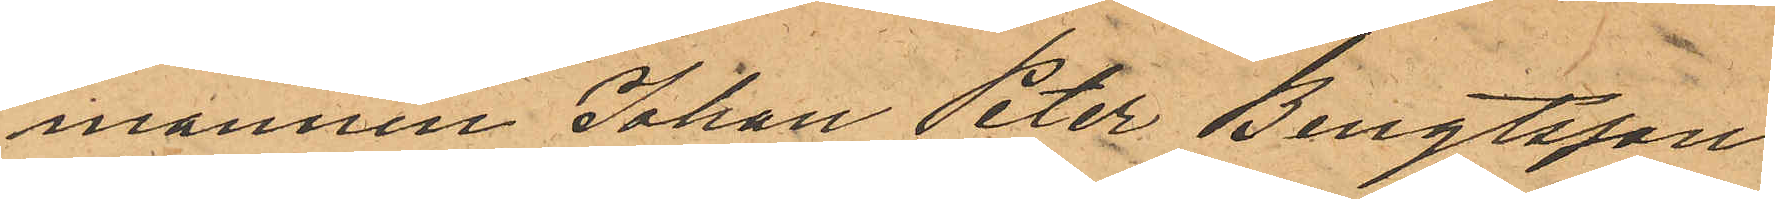mannen Johan Peter Bengtsson
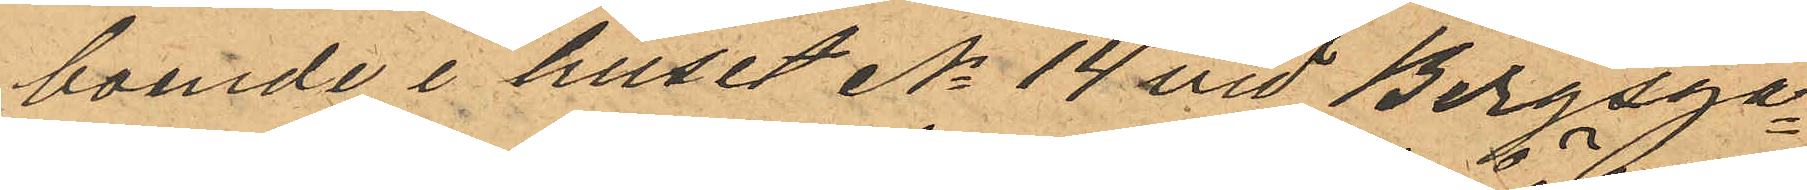boende i huset No 14 vid Bergsga¬
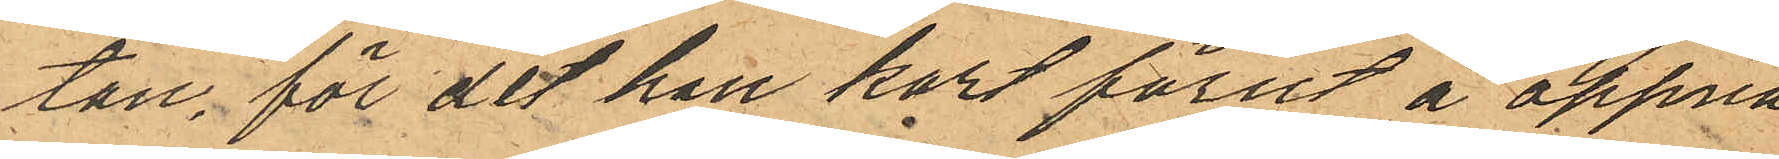tan, för det han kort förut å öppna
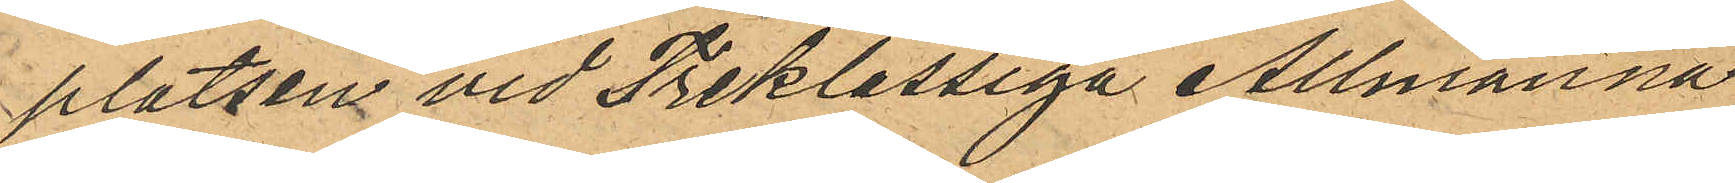platsen vid Treklassiga Allmänna
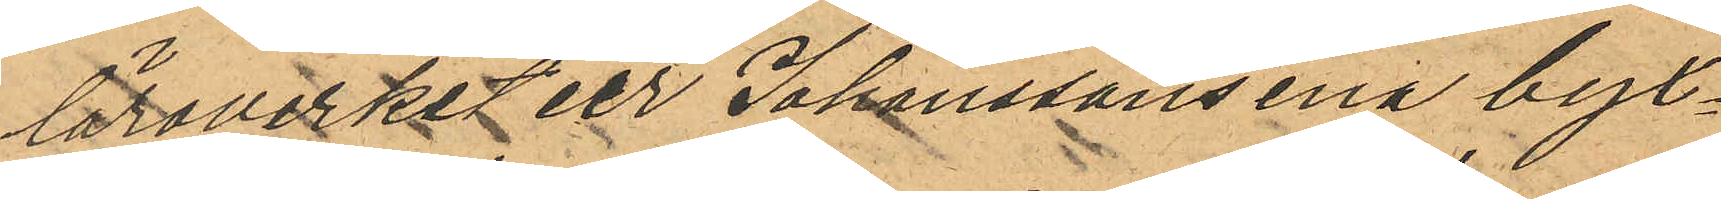läroverket ur Johanssons ena byx¬
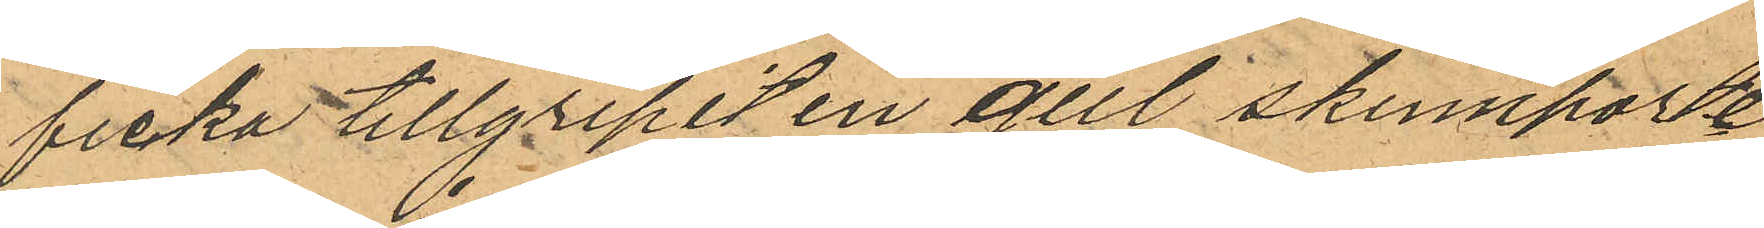ficka tillgripit en gul skinnporte¬
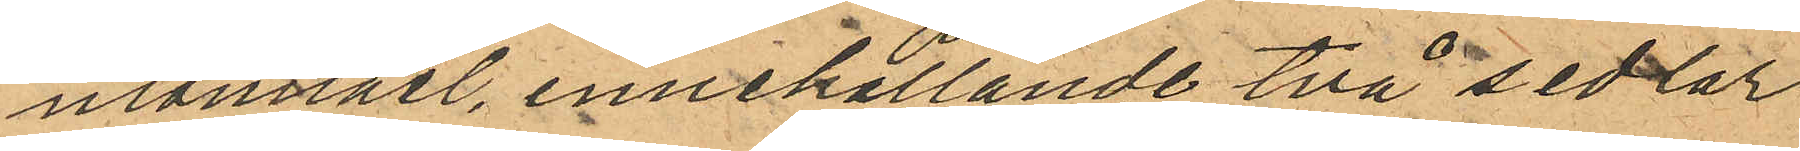monnaie, innehållande två sedlar
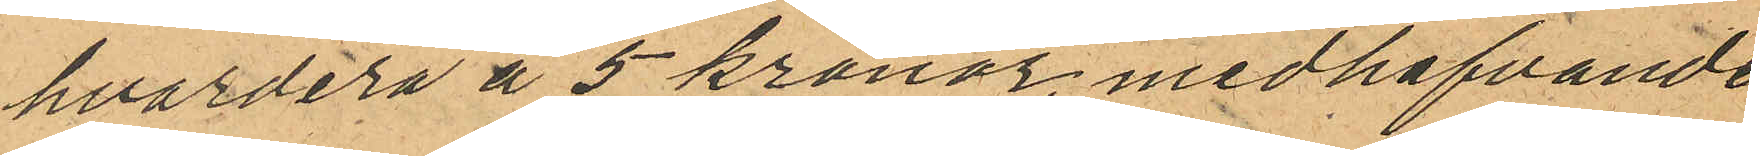hvardera å 5 kronor, medhafvande
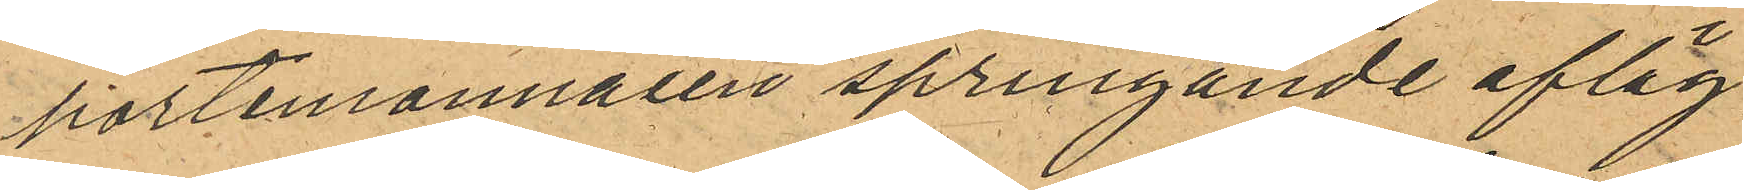portemonnaien springande afläg¬
